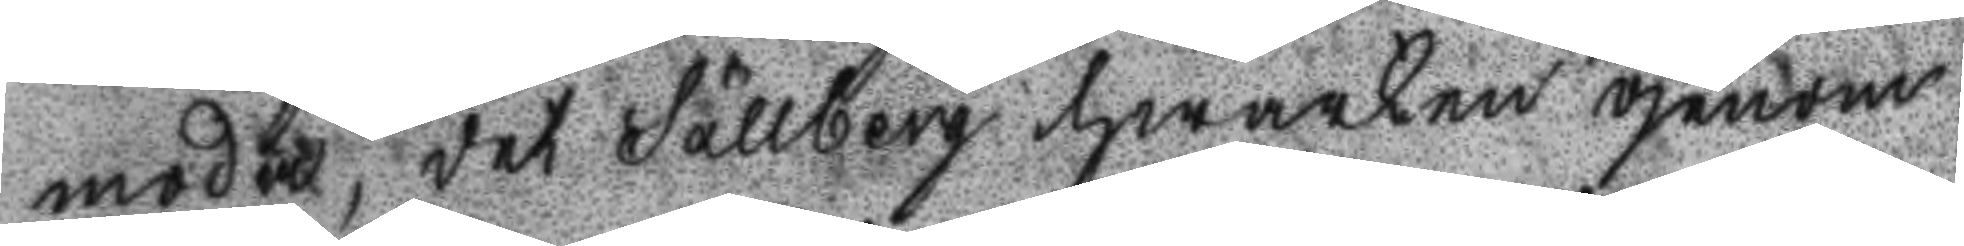moda, det Sällberg hwarken genom
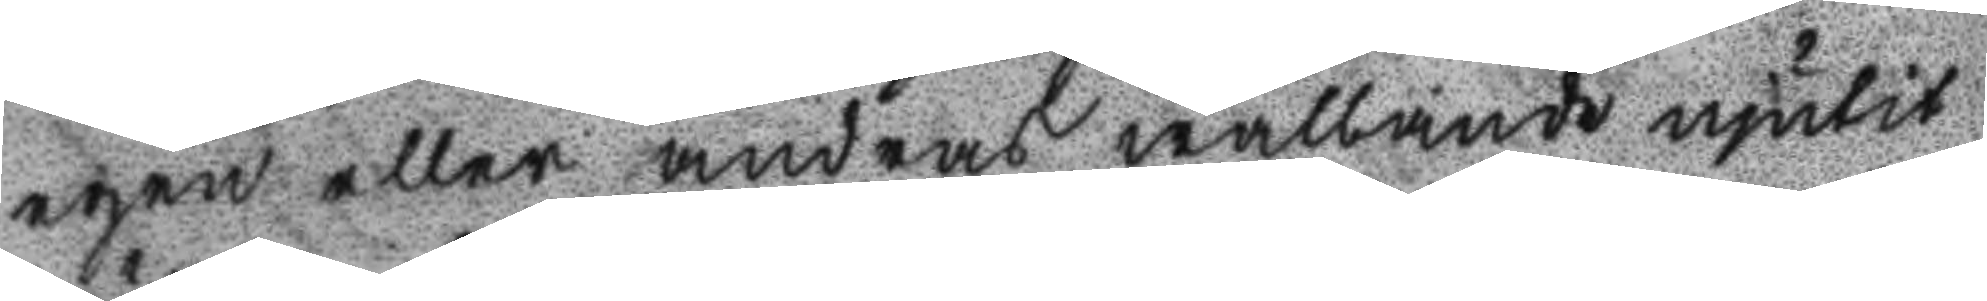egen eller andras wållande njutit
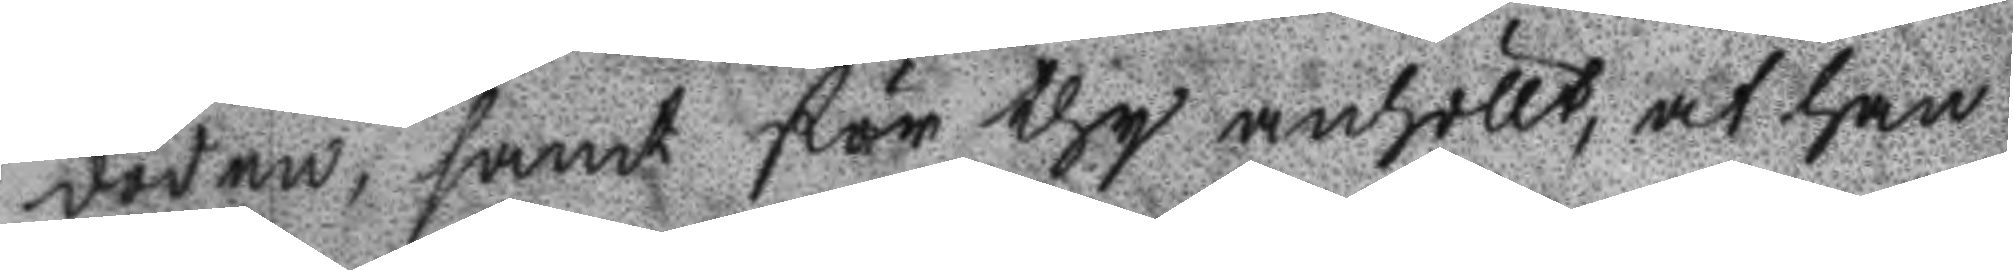döden, samt för thy anhöllt, at han
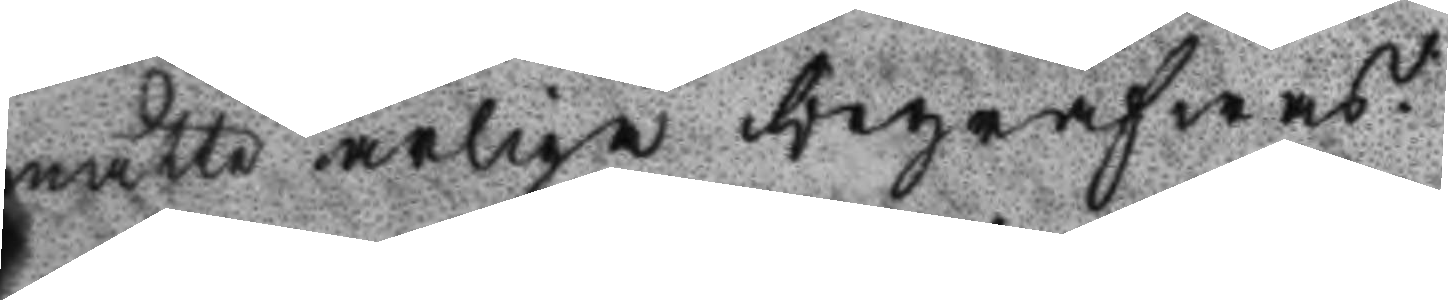måtte arliga begrafwas.
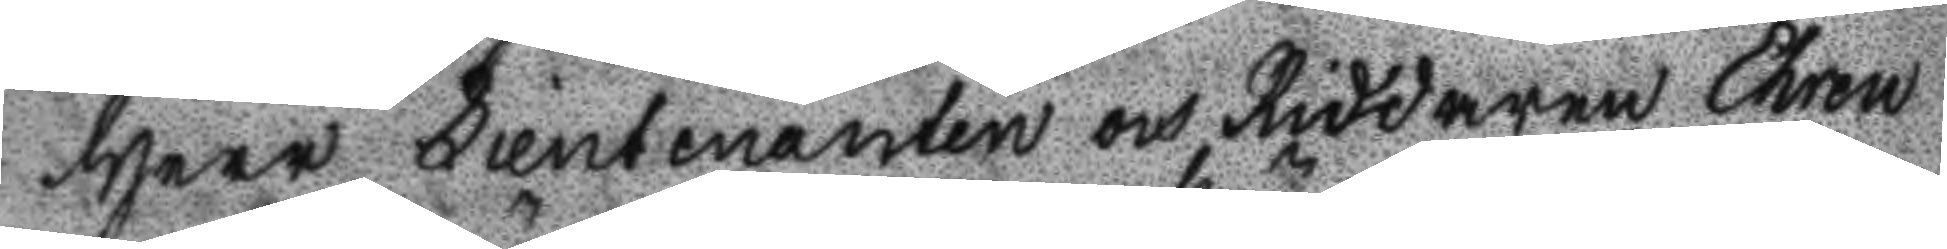Herr Lieutenanten och Riddaren Ehren
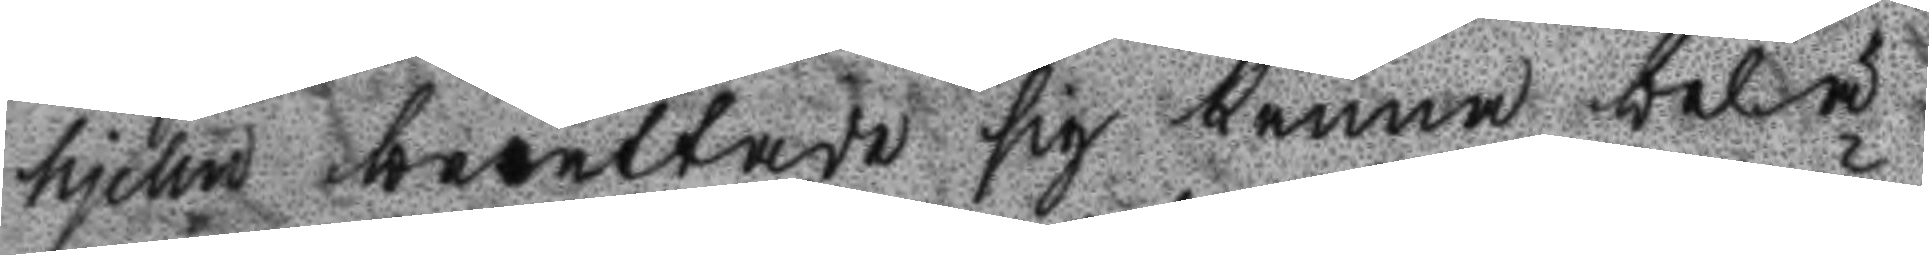hjelm berättade sig känna belö
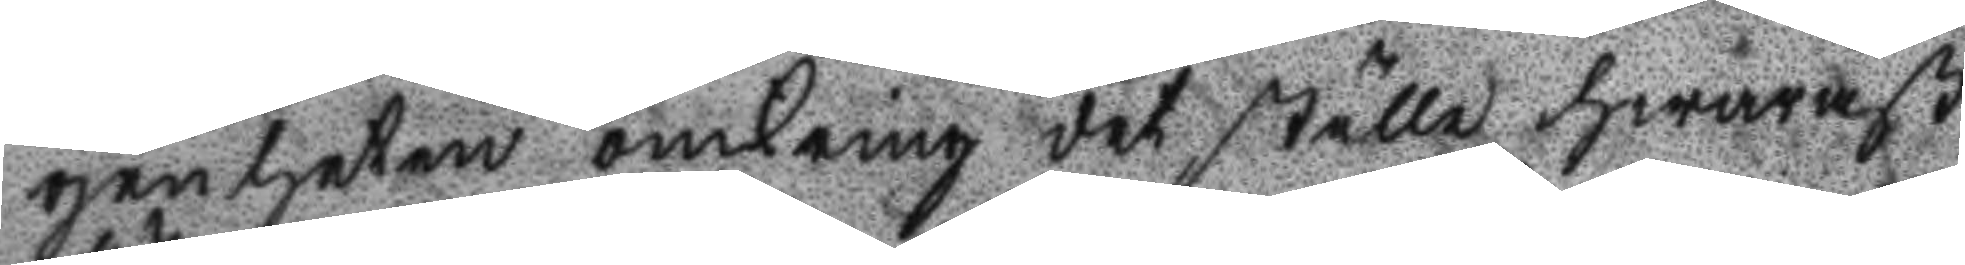genheten omkring det ställe hwaräst
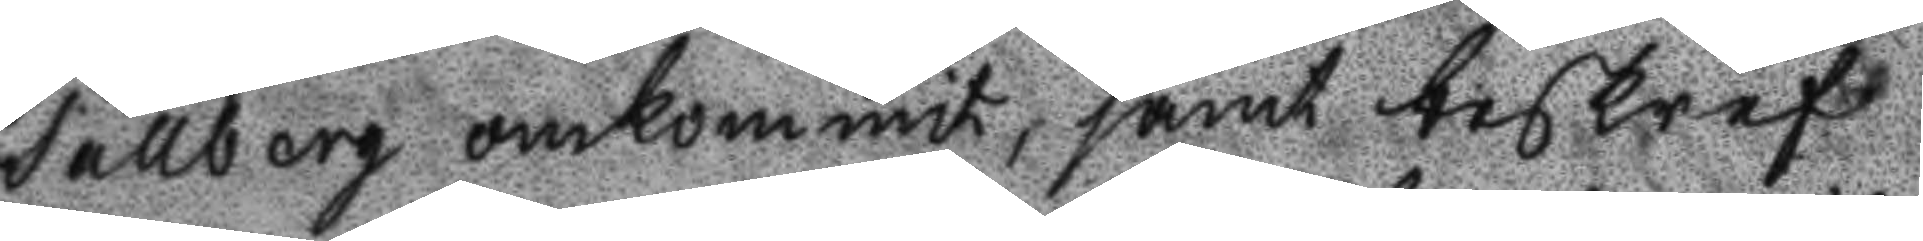Sällberg omkommit, samt beskref
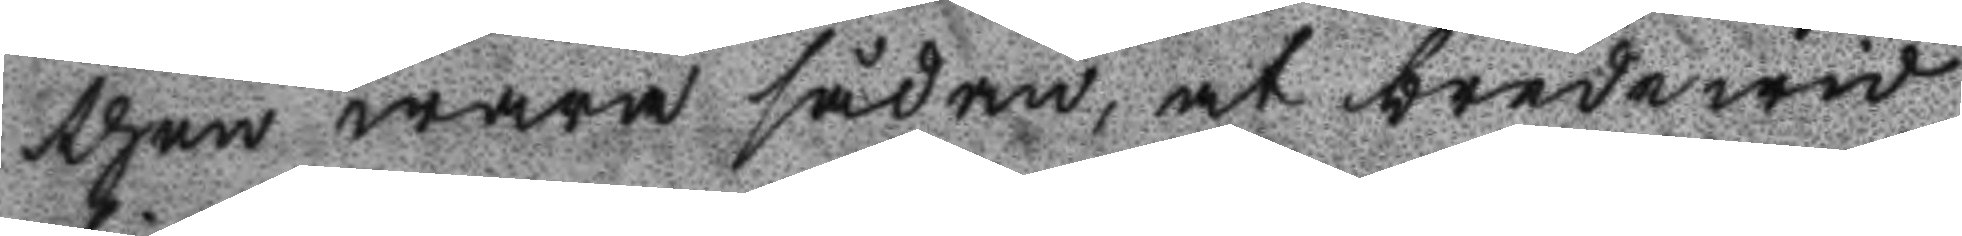then wara sådan, at bredewid
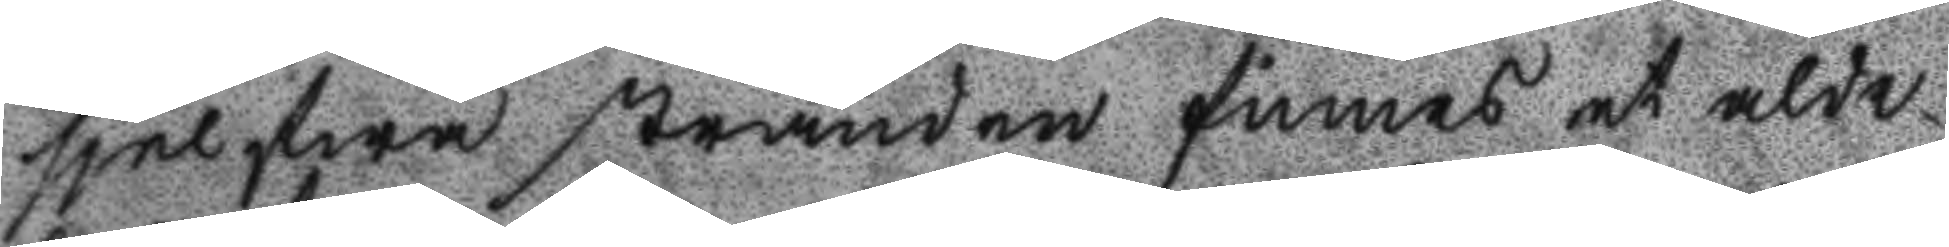sjelfwa stranden finnes et alde
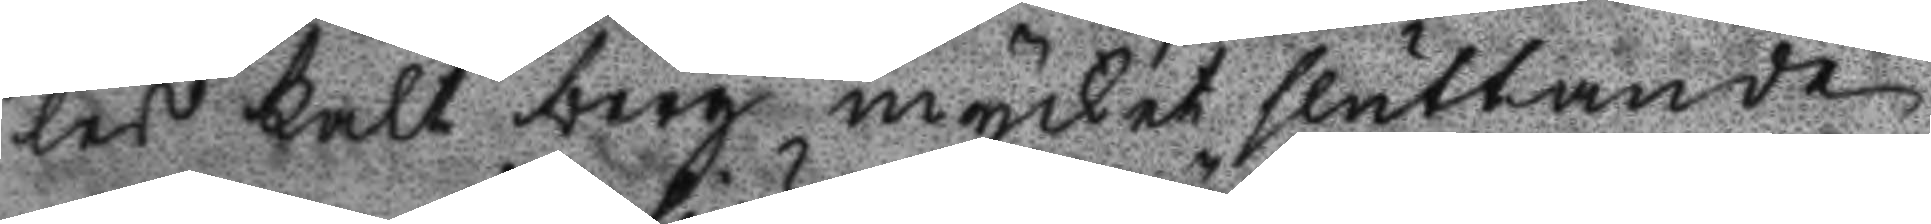les kalt berg mycket sluttande
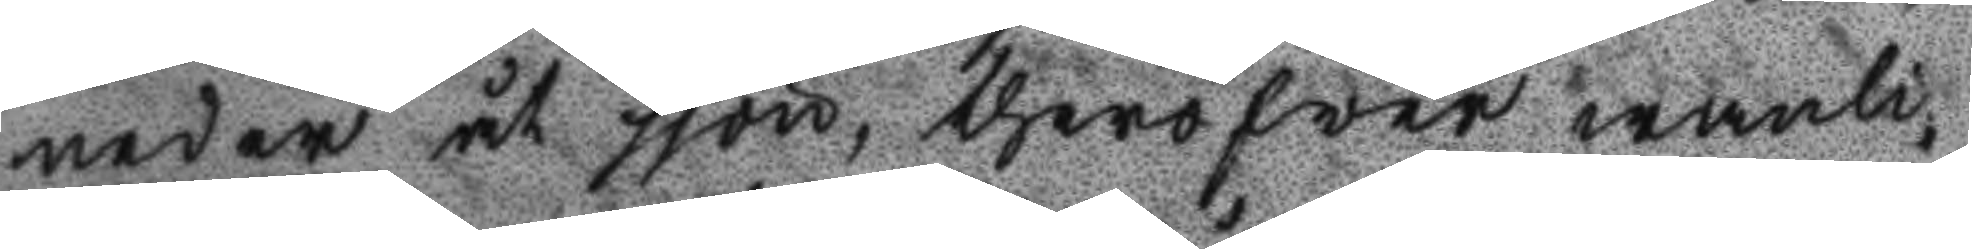neder åt sjön, theröfwer wanli¬
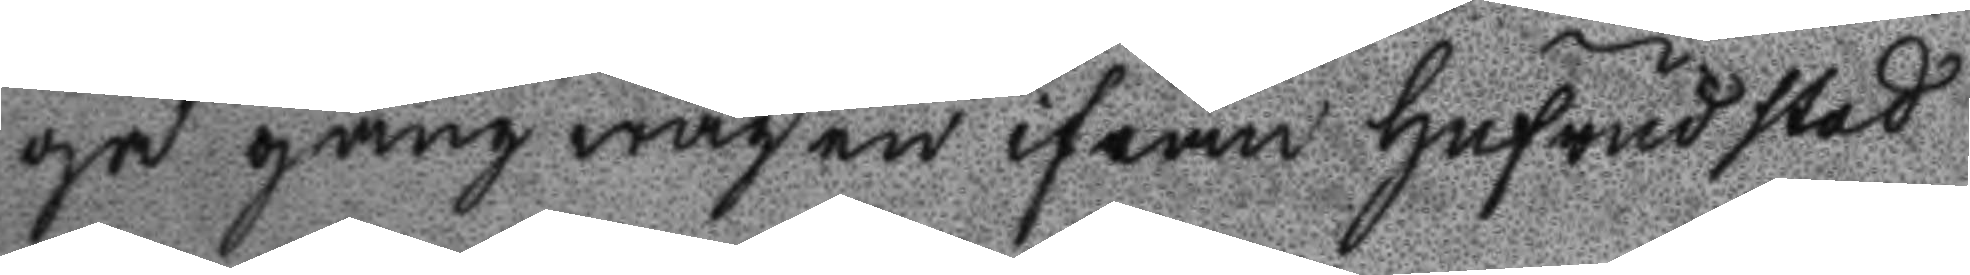ha gångwägen ifrån hufvudstad
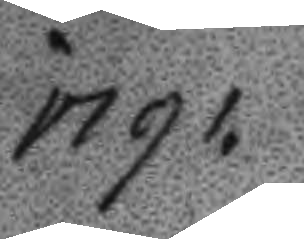1791.
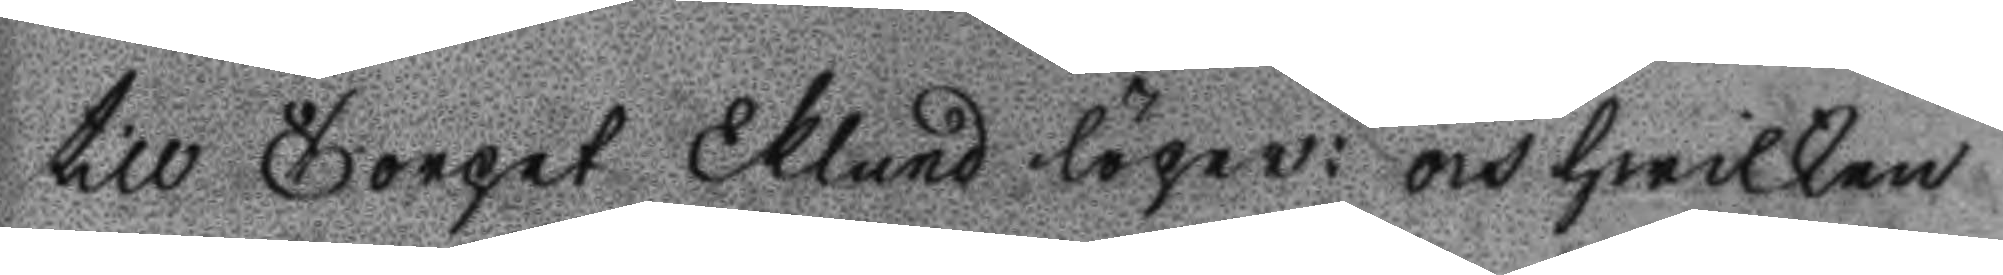till Torpet Eklund löper: och hwilken
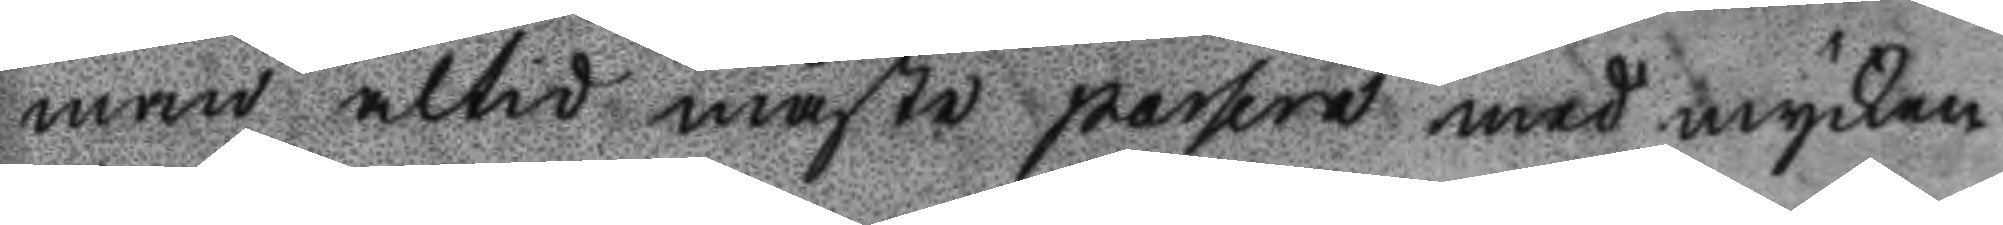man altid måste passera med mycken
